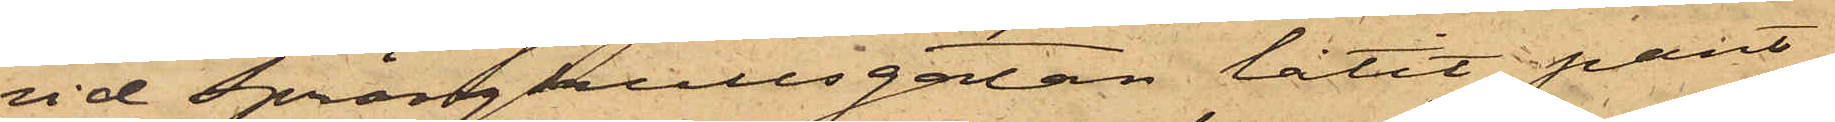vid Sprängkullsgatan låtit pant¬
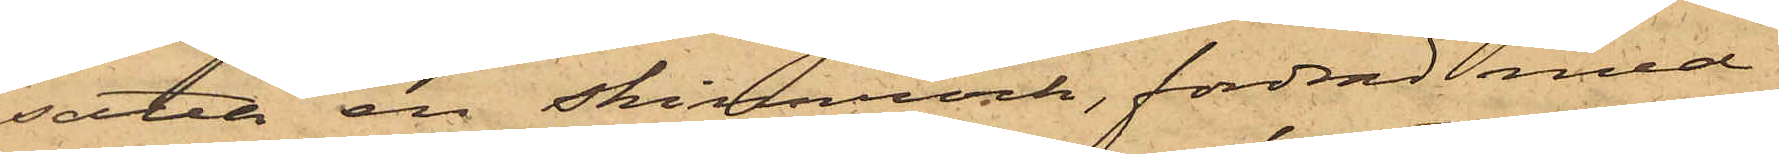satta en skinnrock, fordrad med
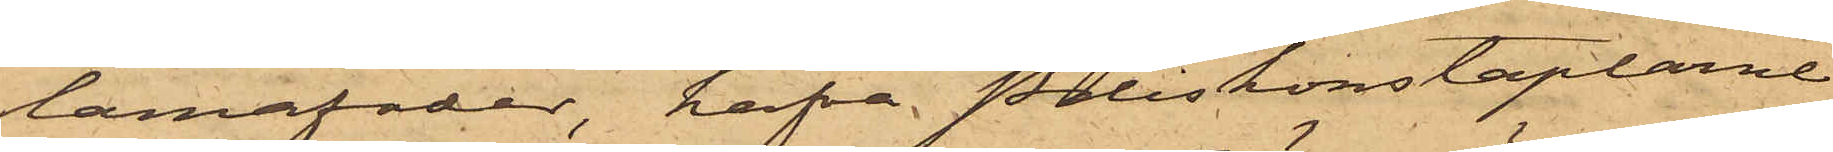lamafoder, hafva Poliskonstaplarne
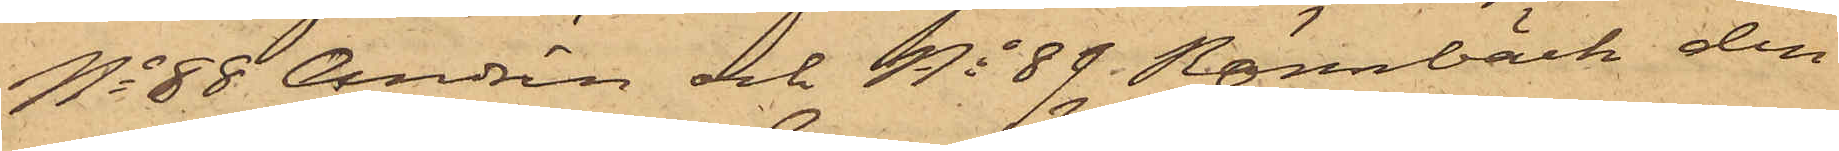No 88 Andrén och No 89 Rönnbäck den
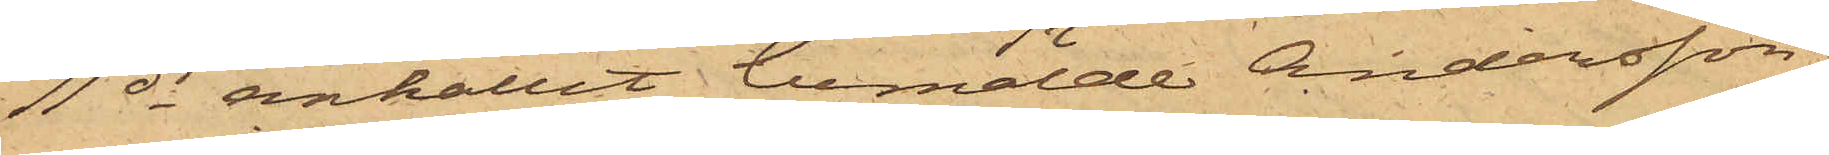11 ds anhållit bemälde Andersson,
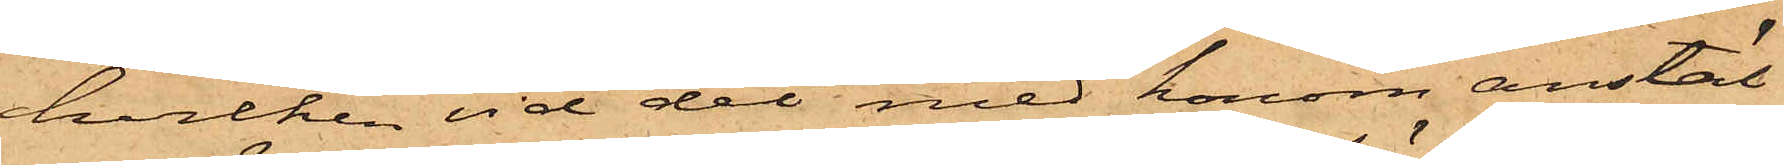hvilken vid det med honom anstäl¬
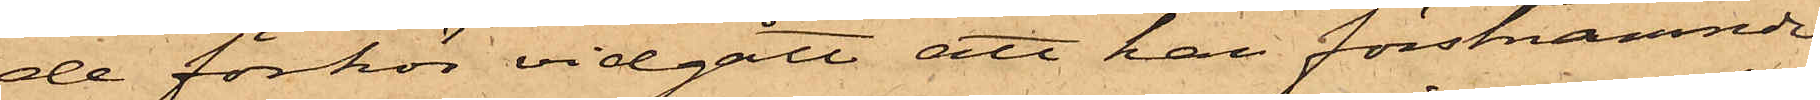de förhör vidgått att han förstnämnde
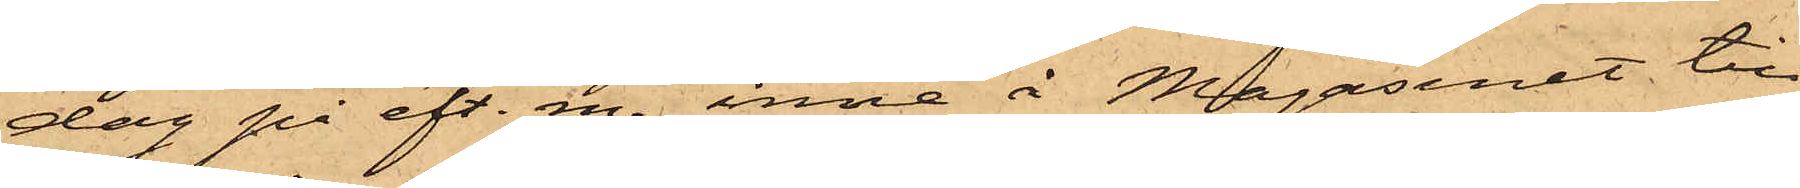dag på eft. m. inne å Magasinet till
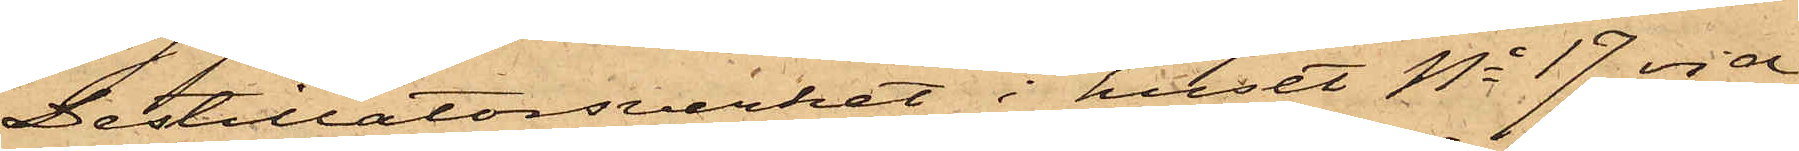Destillatorsverket i huset No 17 vid
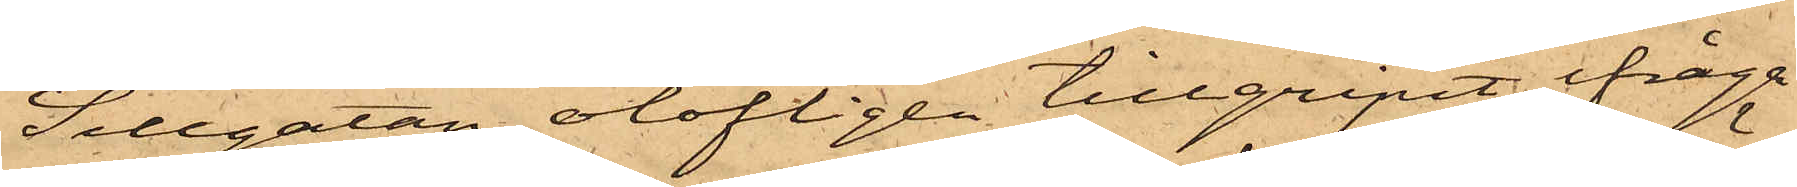Sillgatan olofligen tillgripit ifråga¬
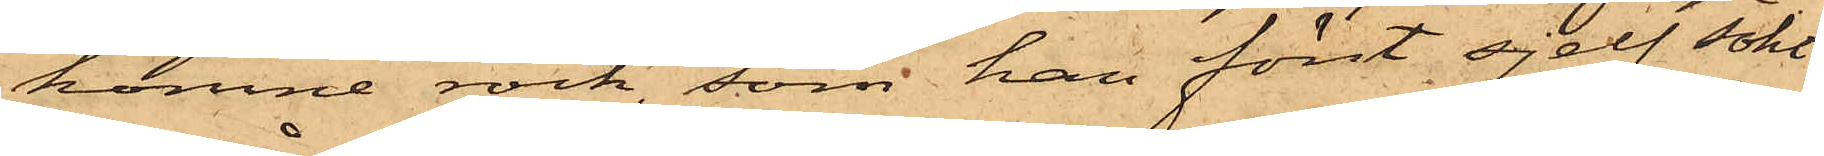komne rock, som han först sjelf sökt
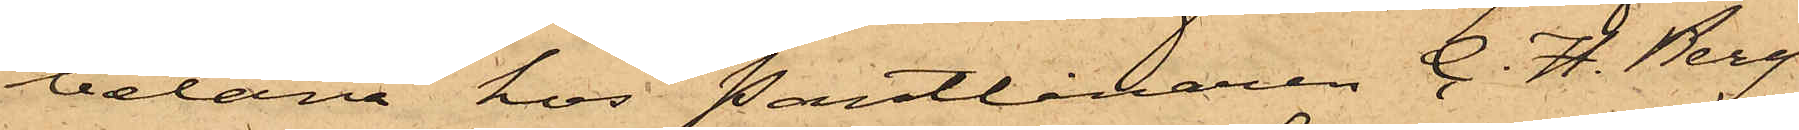belåna hos Pantlånaren C. H. Berg
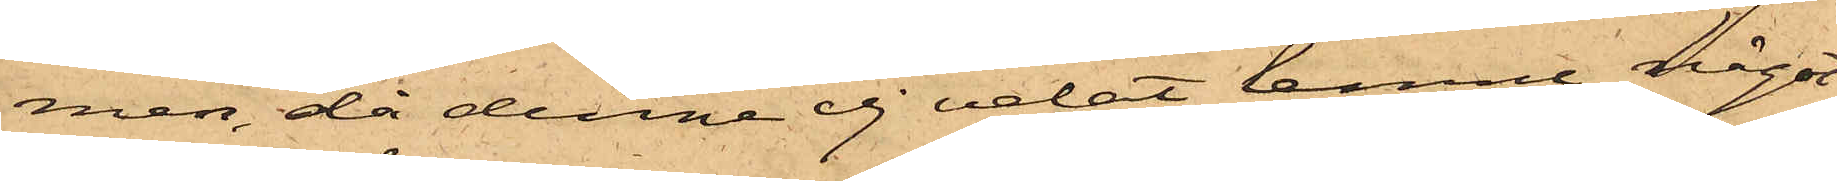men, då denne ej velat lemna något
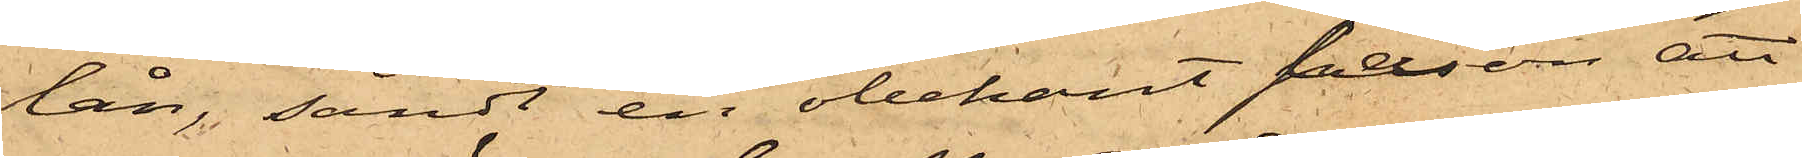lån, sändt en obekant person att
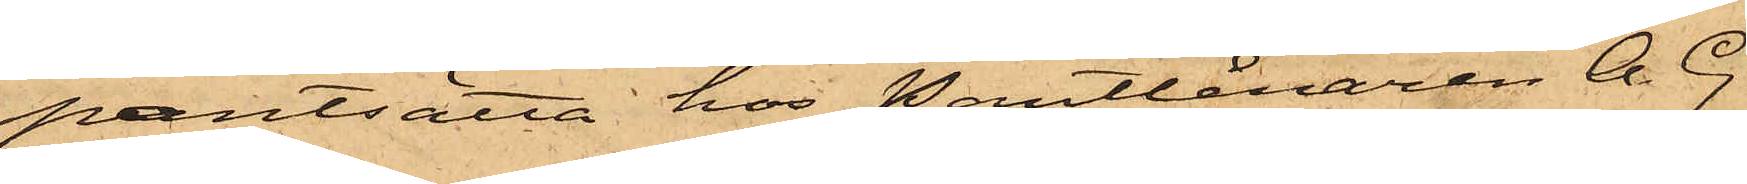pantsätta hos Pantlånaren A. G.
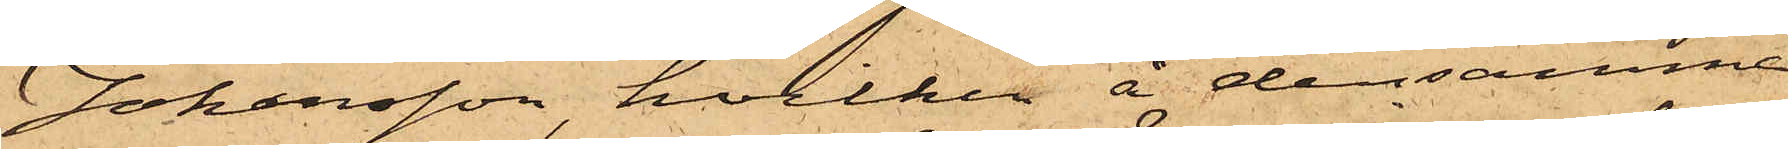Johansson, hvilken å densamme
